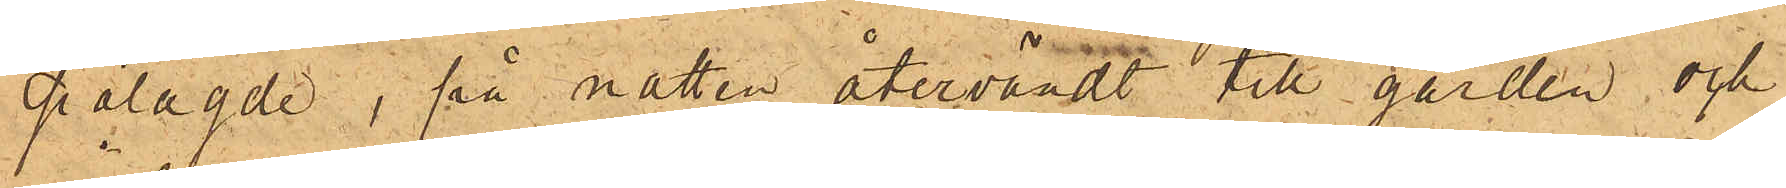pålagde, på natten återvändt till gården och
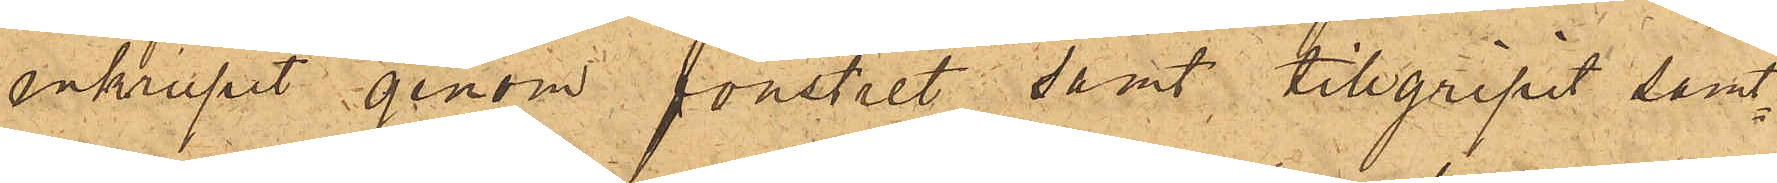inkrupit genom fönstret samt tillgripit samt¬
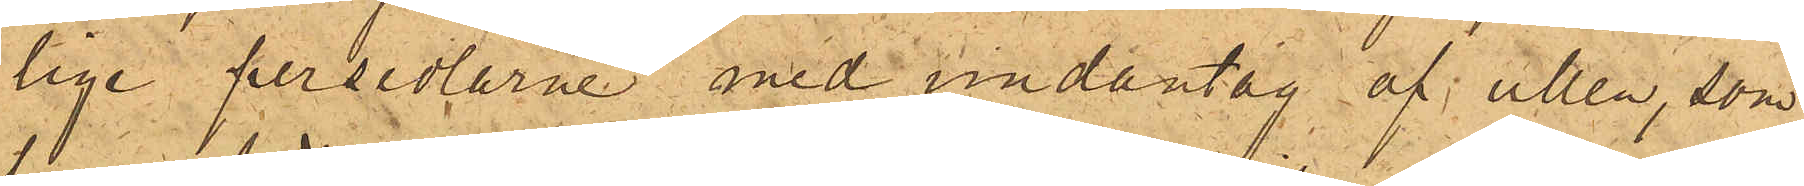lige persedlarne med undantag af ullen, som
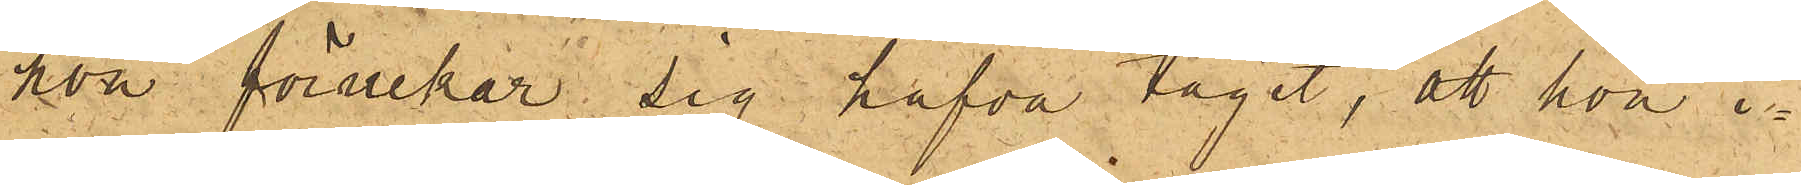hon förnekar sig hafva tagit, att hon i¬
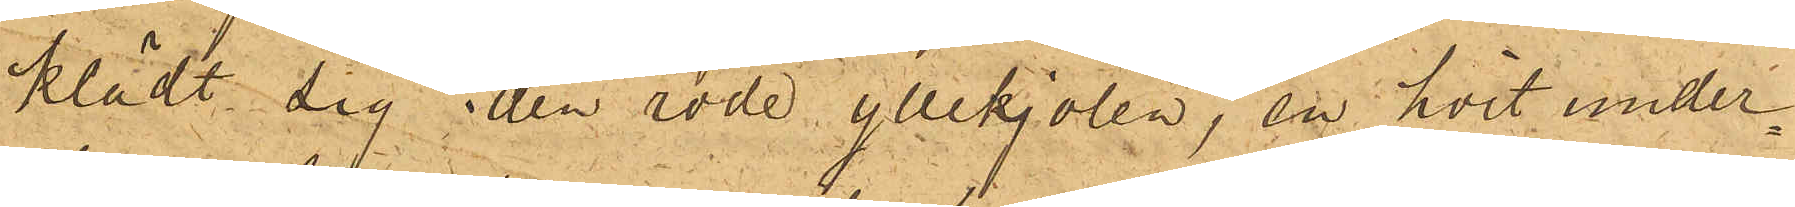klädt sig den röda yllekjolen, en hvit under¬
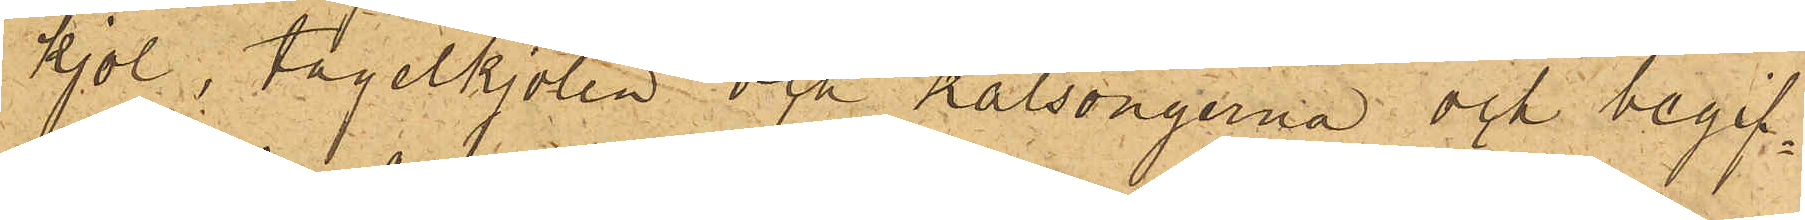kjol, tagelkjolen och kalsongerna och begif¬
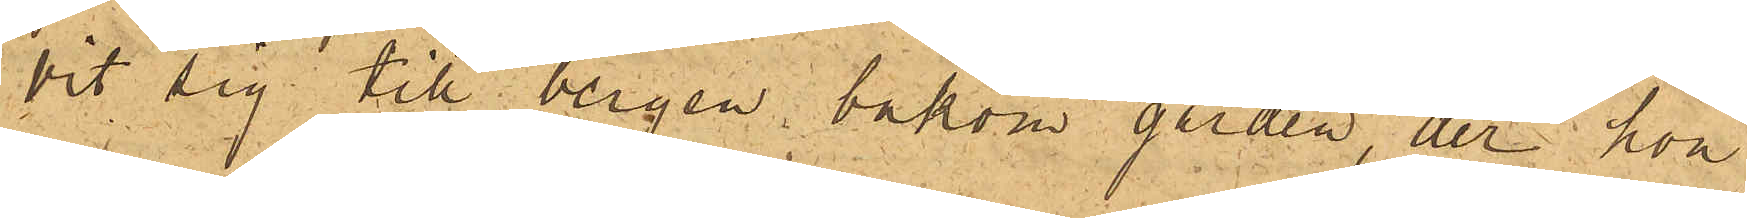vit sig till bergen bakom gården, der hon
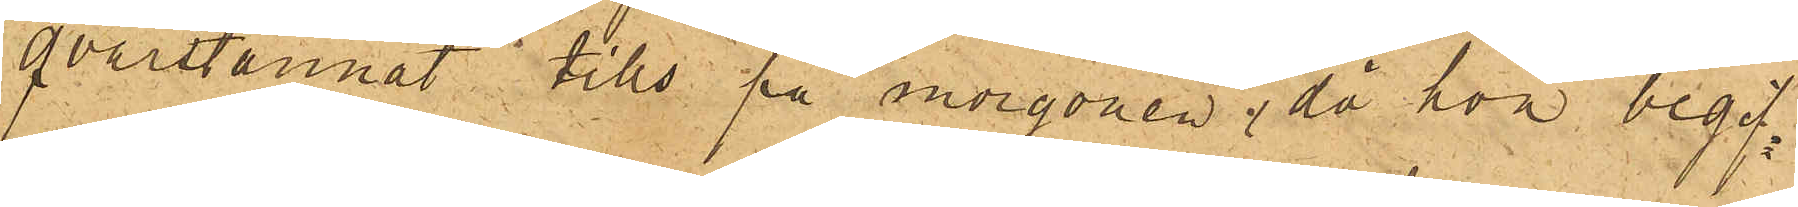qvarstannat tills på morgonen, då hon begif¬
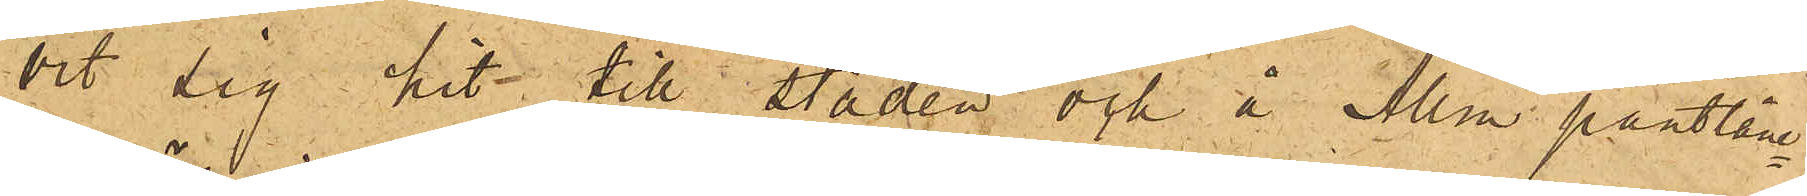vit sig hit till staden och å Allm pantlåne¬
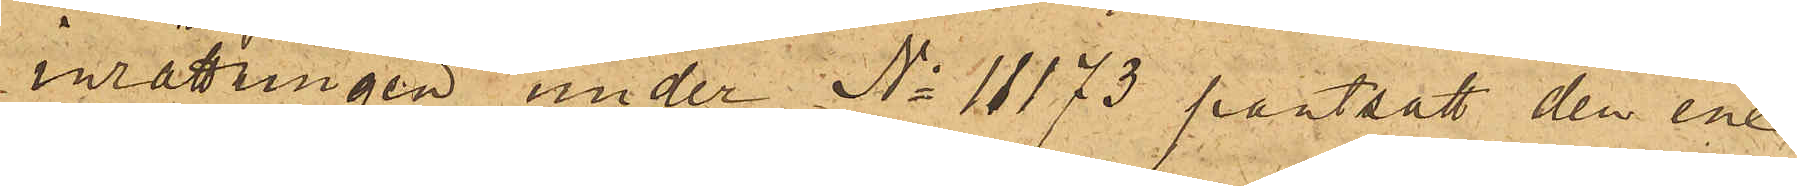inrättningen under No 11173 pantsatt den ene
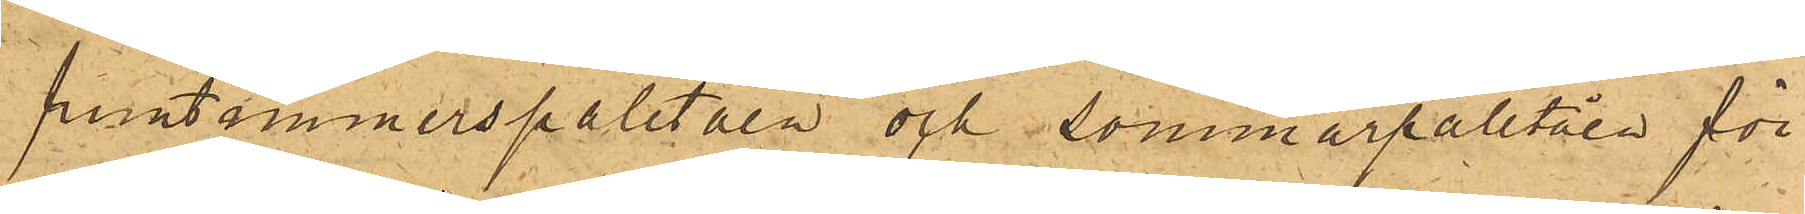fruntimmerspaletåen och sommarpaletåen för
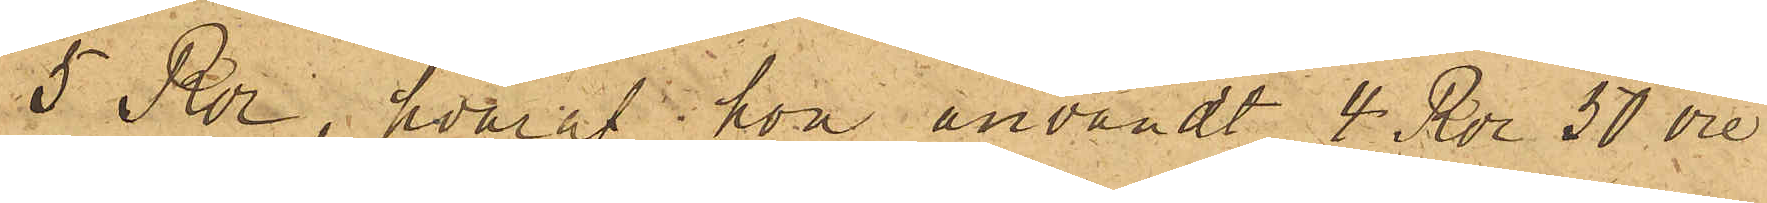5 Rdr, hvaraf hon användt 4 Rdr 50 öre
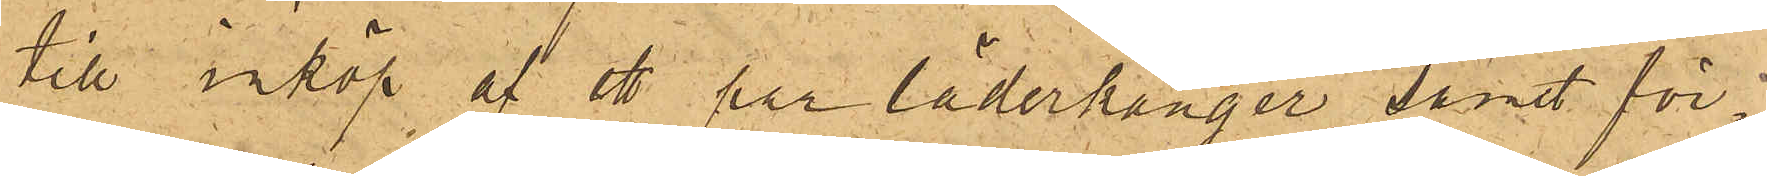till inköp af ett par läderkänger, samt för¬
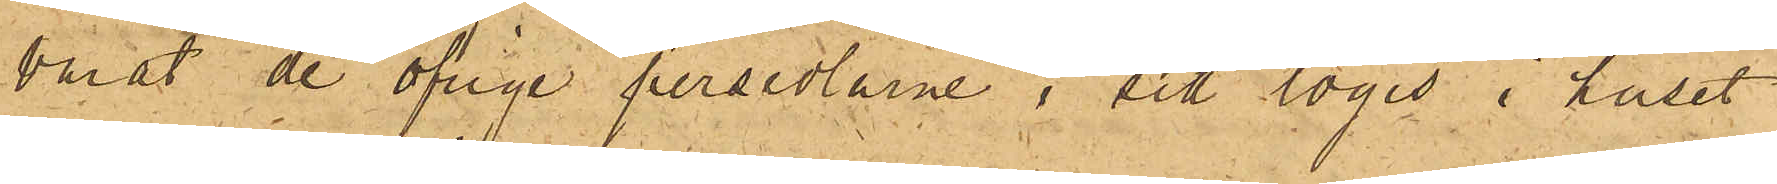varat de öfrige persedlarne i sitt logis i huset
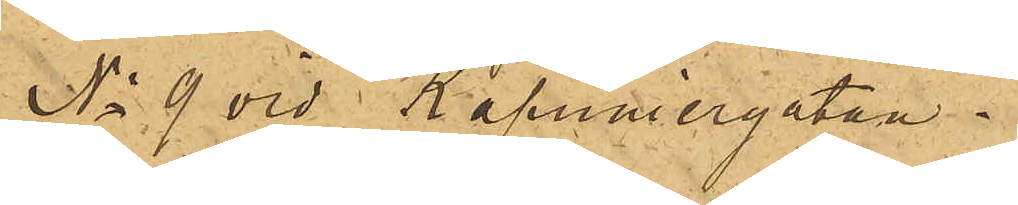No 9 vid Kapuniergatan.
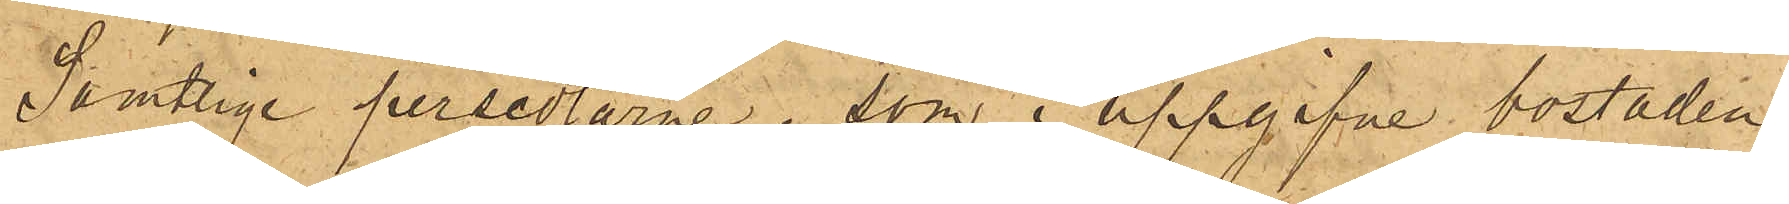Samtlige persedlarne, som i uppgifne bostaden
